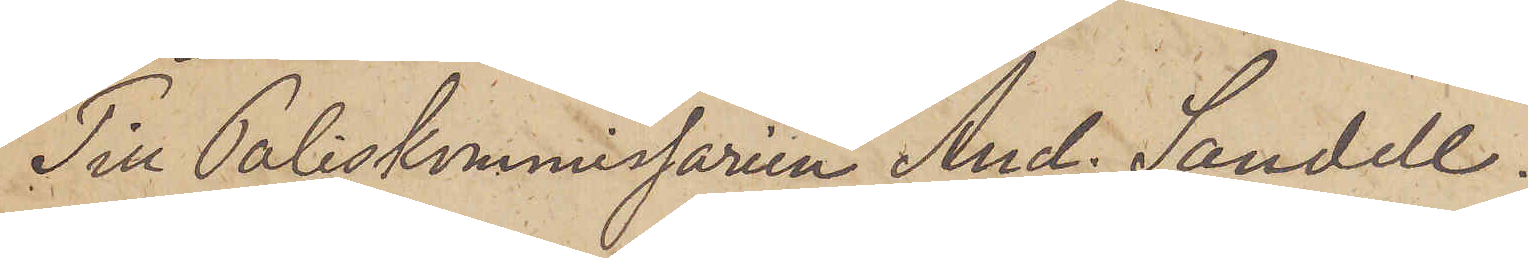Till Poliskommissaren And. Sandell.
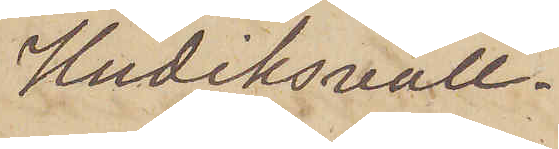Hudiksvall.
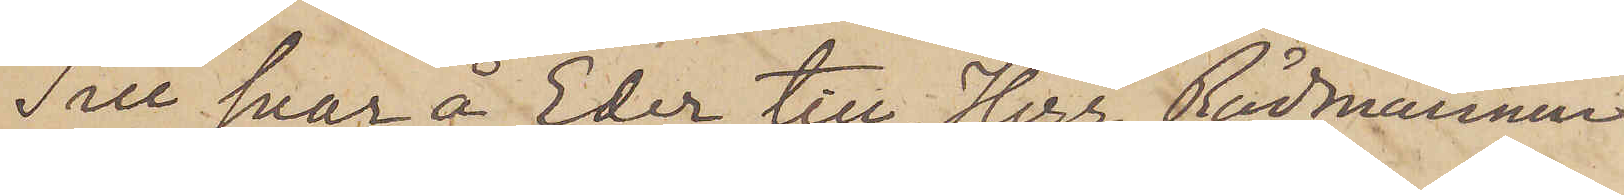Till svar å Eder till Herr Rådmannen
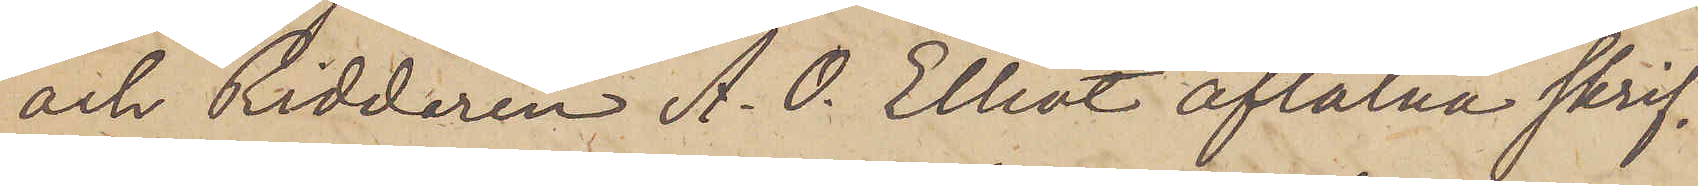och Riddaren A. O. Elliot aflåtna skrif¬
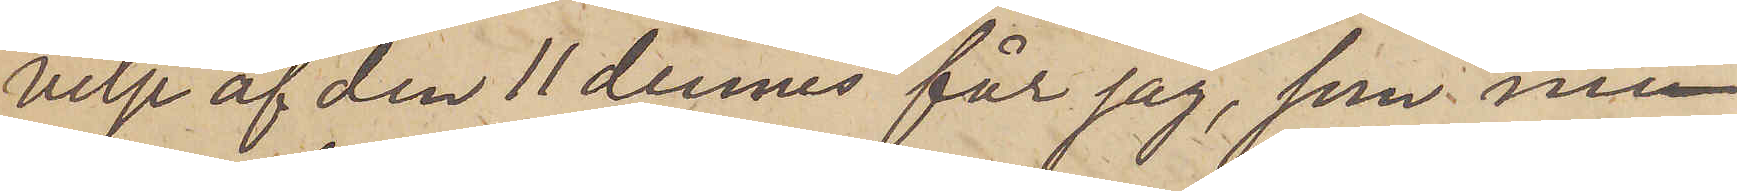velse af den 11 dennes får jag, som nu¬
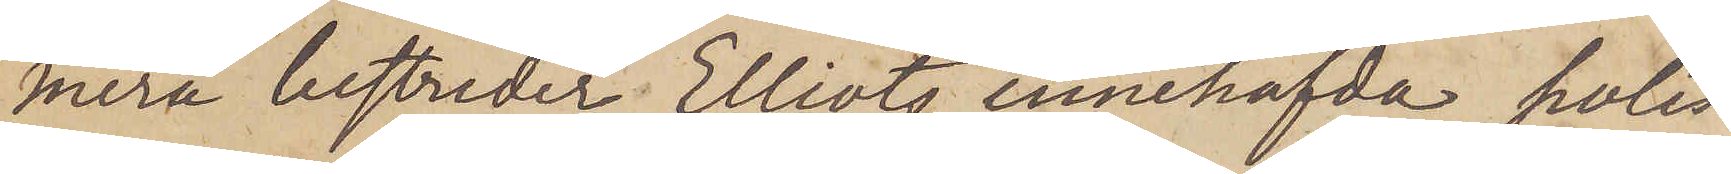mera bestrider Elliots innehafvda polis¬
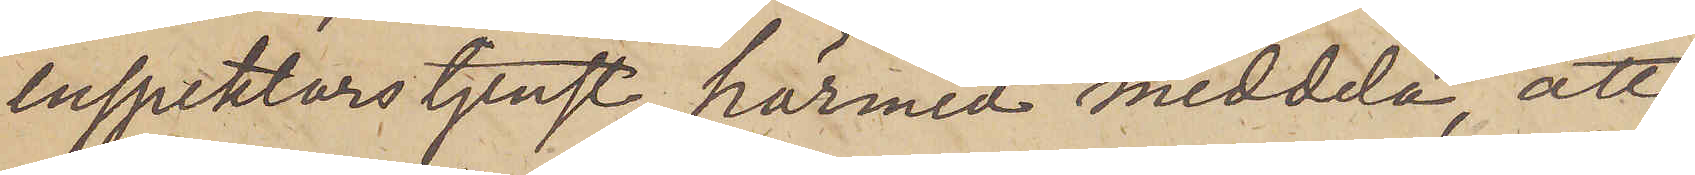inspektors tjenst, härmed meddela att
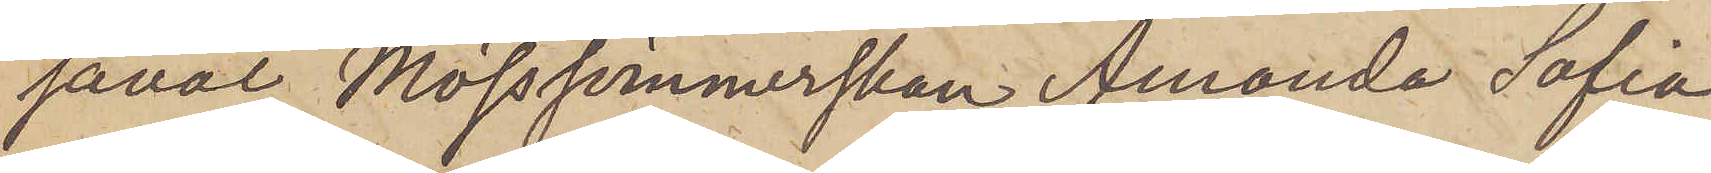såväl Mössömmerskan Amanda Sofia
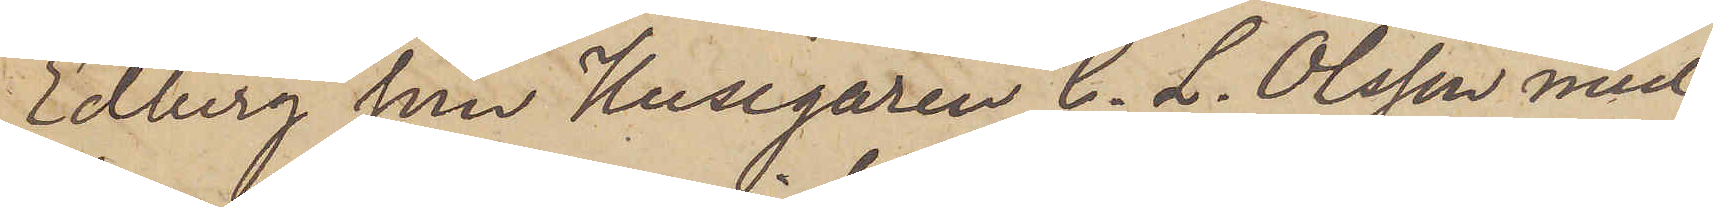Edberg som Husegaren C. L. Olsson med
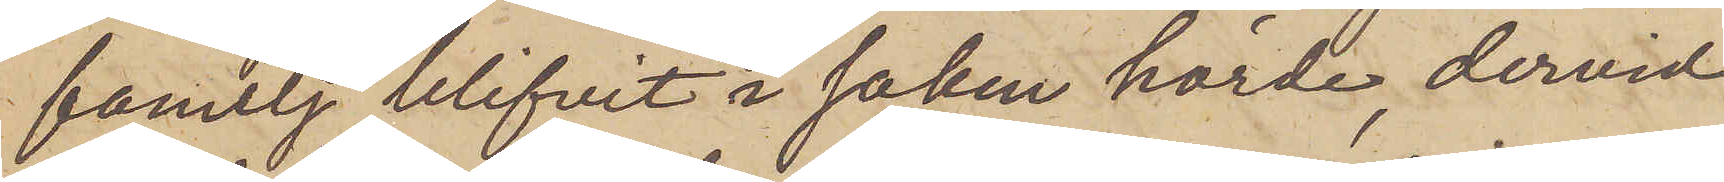familj blifvit i saken hörde, dervid
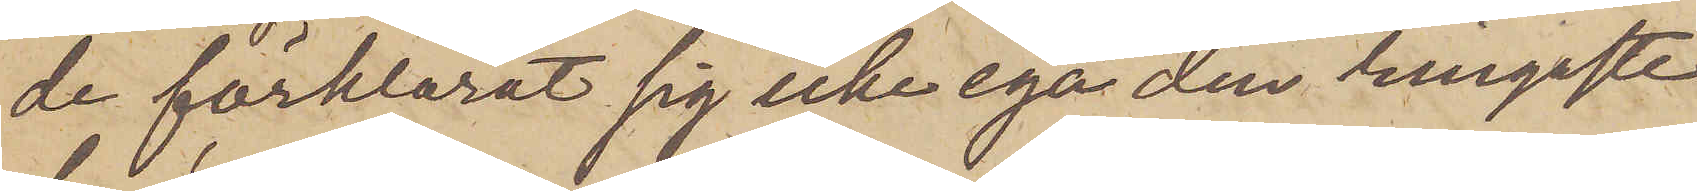de förklarat sig icke ega den ringaste
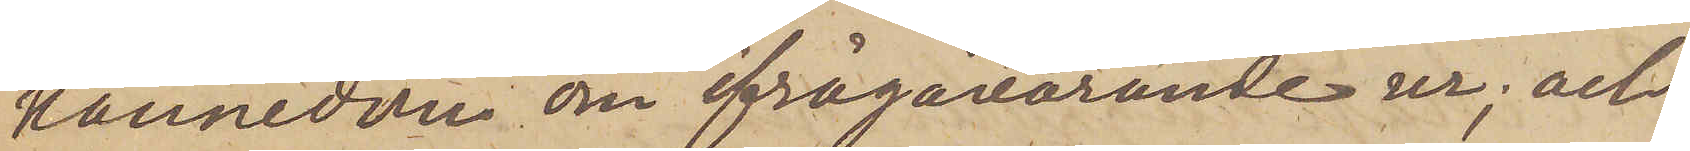kännedom om ifrågavarande ur; och
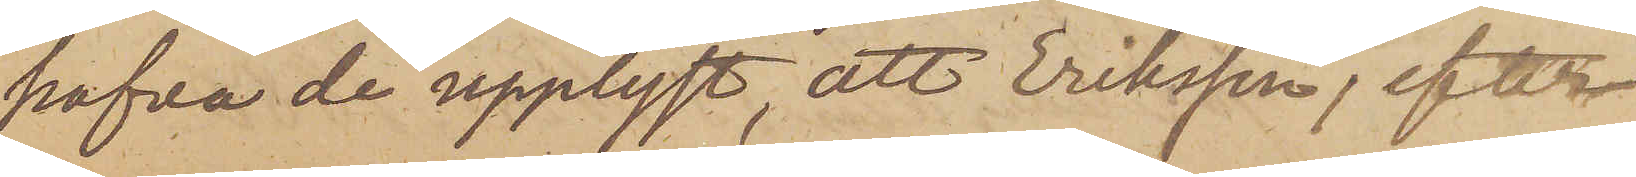hafva de upplyst, att Eriksson, efter
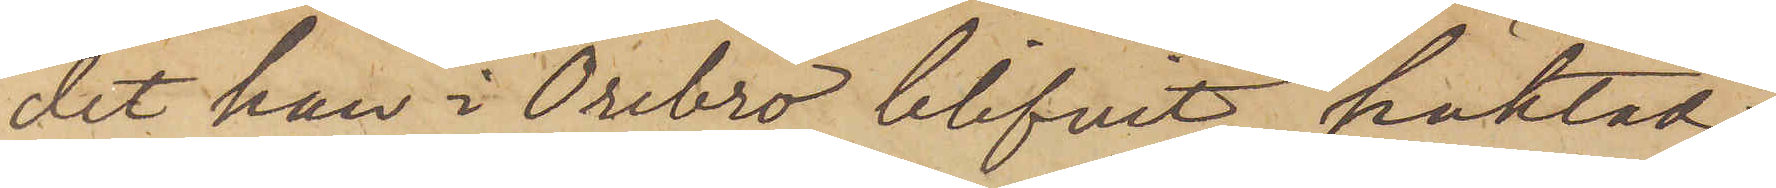det han i Örebro blifvit häktad
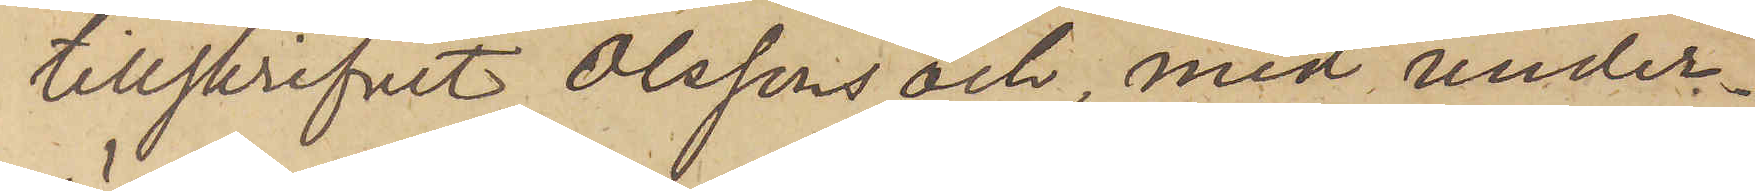tillskrifvit Olssons och, med under¬
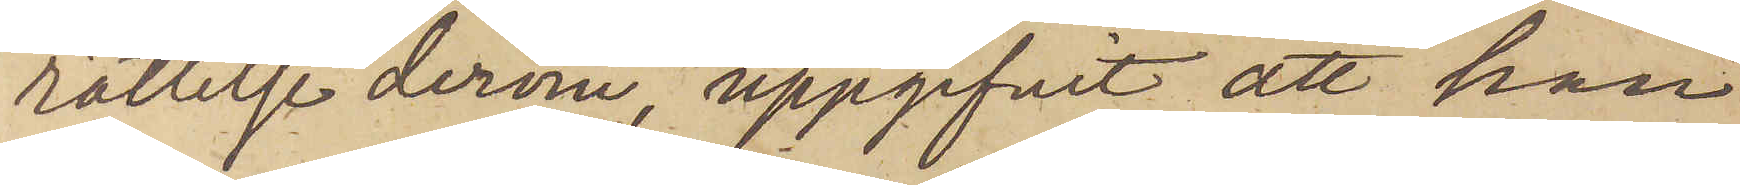rättelse derom, uppgifvit att han
